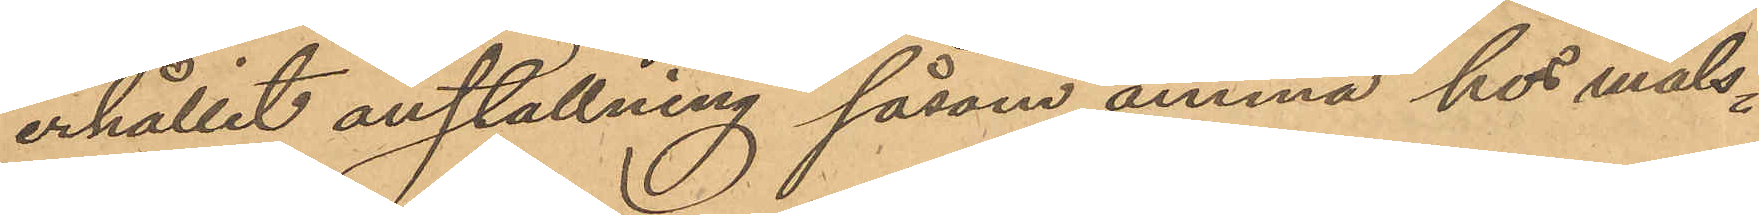erhållit anställning såsom amma hos måls¬
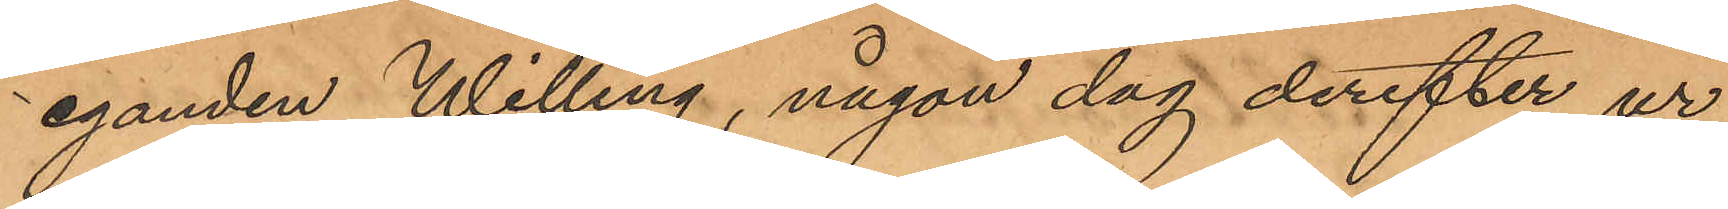eganden Willing, någon dag derefter ur
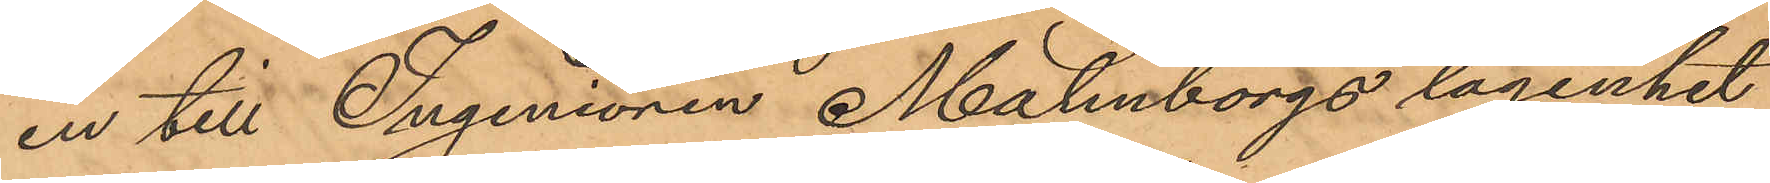en till Ingeniören Malmborgs lägenhet
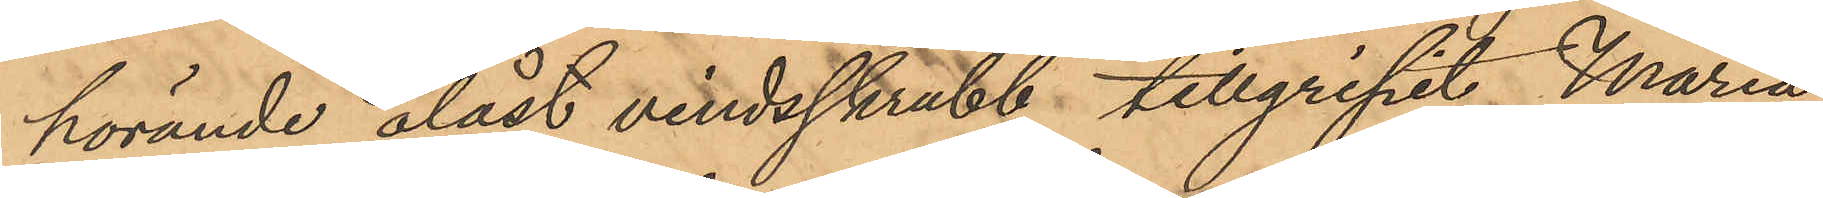hörande olåst vindsskrubb, tillgripit Maria
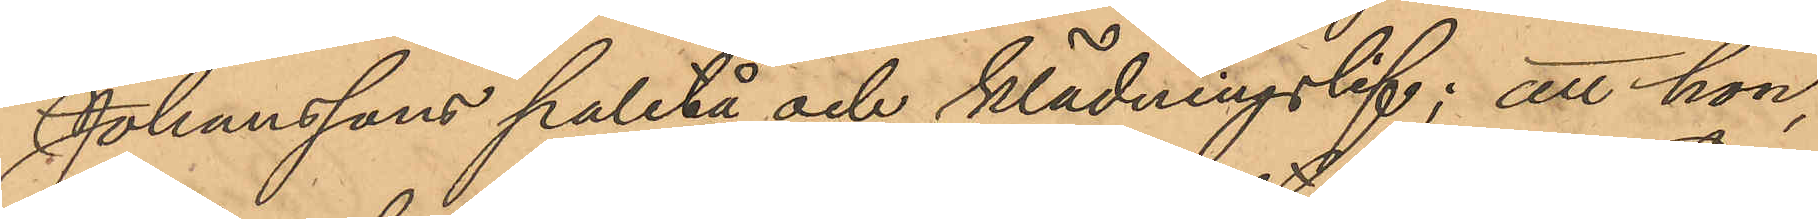Johanssons paletå och klädningslif; att hon,
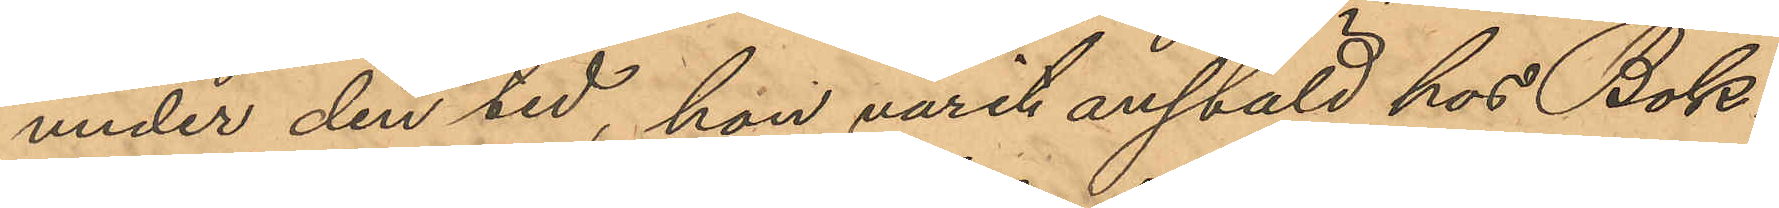under den tid, hon varit anstäld hos Bok¬
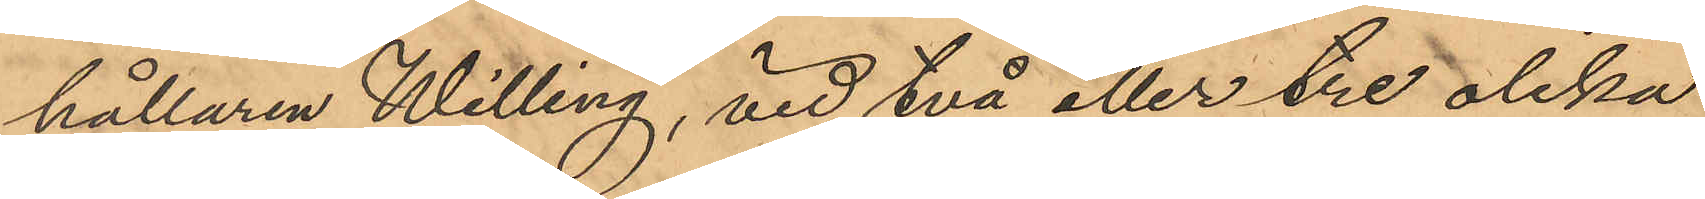hållaren Willing, vid två eller tre olika
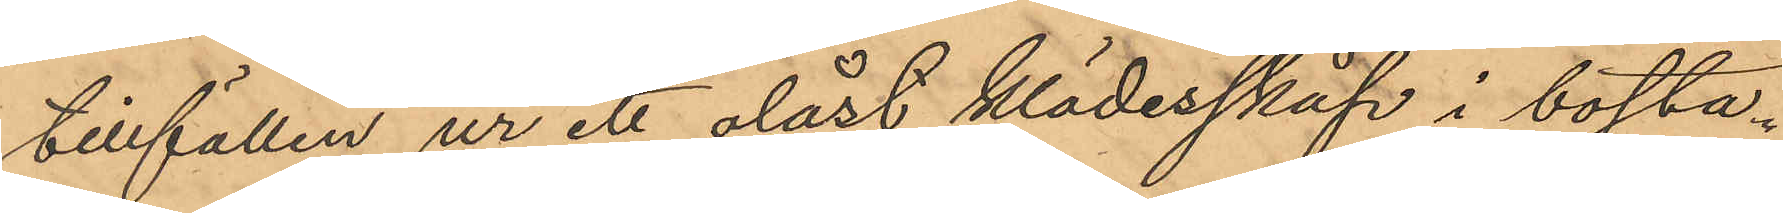tillfällen ur ett olåst klädesskåp i bosta¬
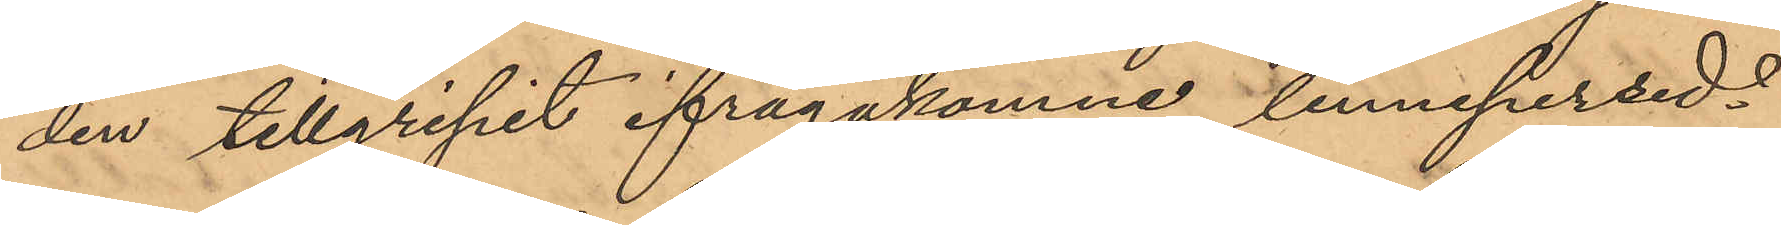den tillgripit ifrågakomne linnepersed¬
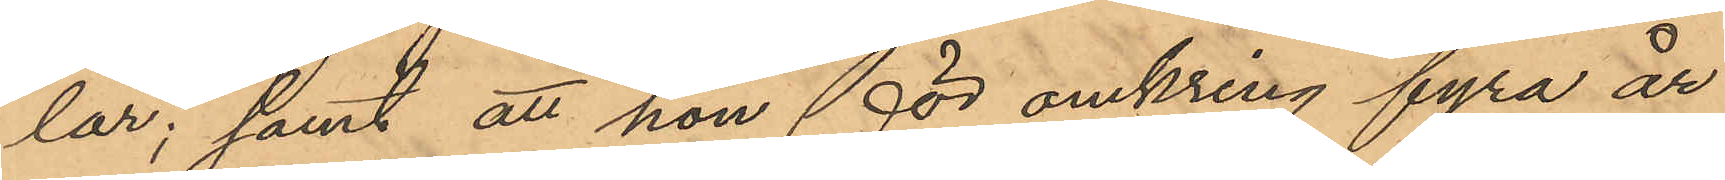lar; samt att hon för omkring fyra år
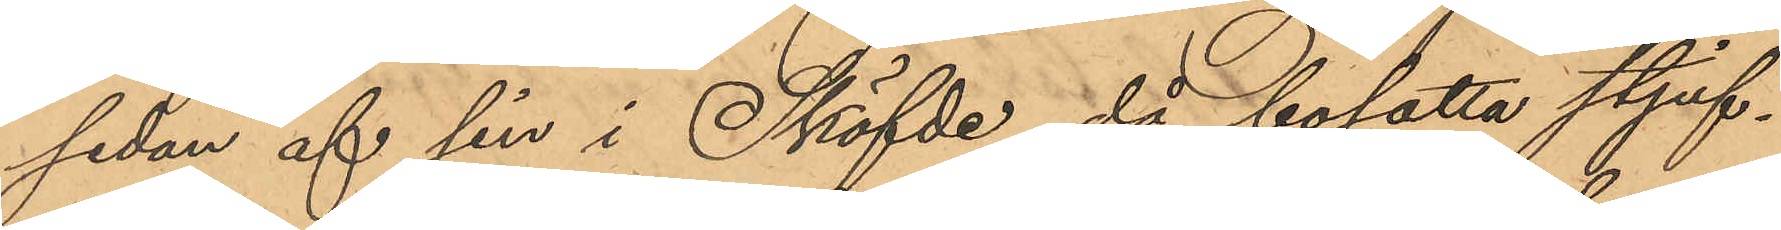sedan af sin i Sköfde då bosatta styf¬
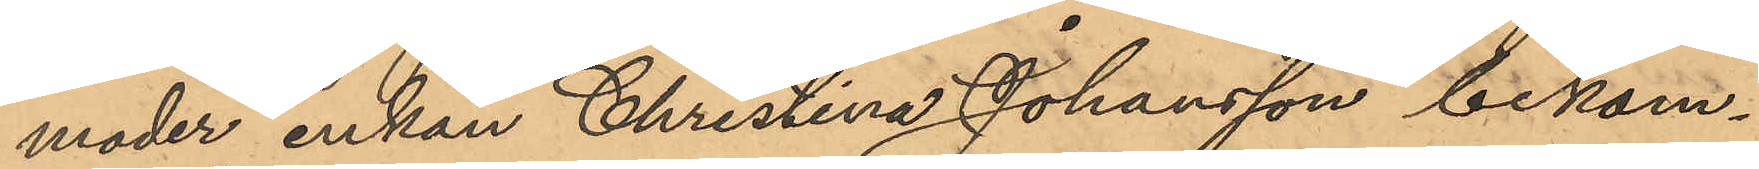moder enkan Christina Johansson bekom¬
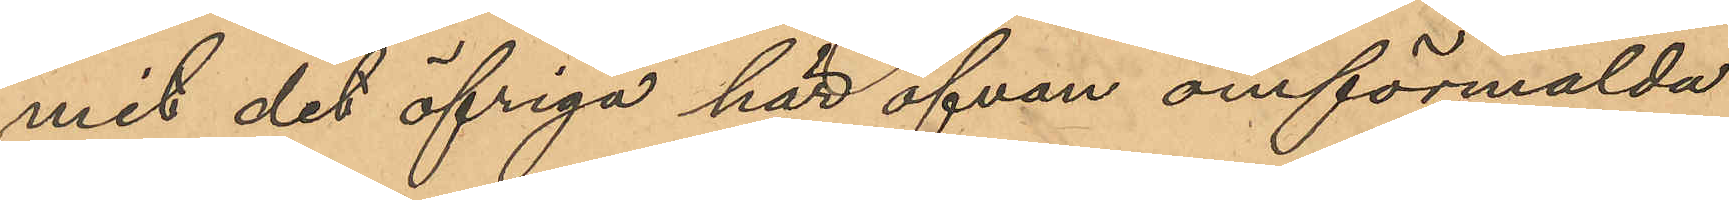mit det öfriga här ofvan omförmälda
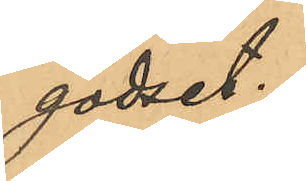godset.
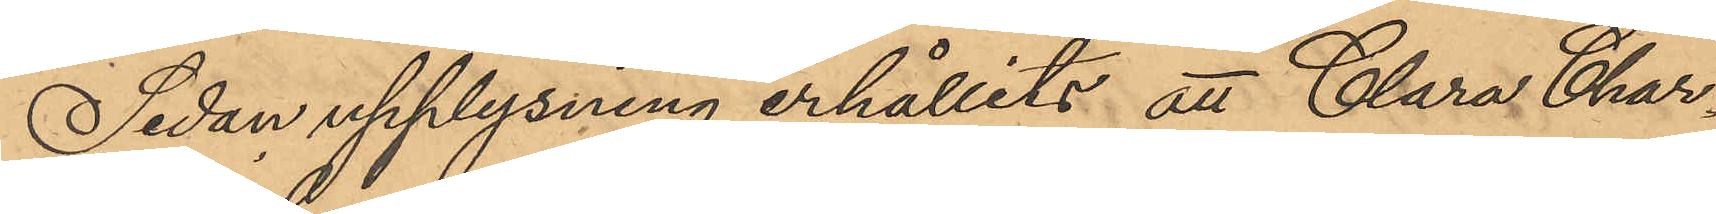Sedan upplysning erhållits att Clara Char¬
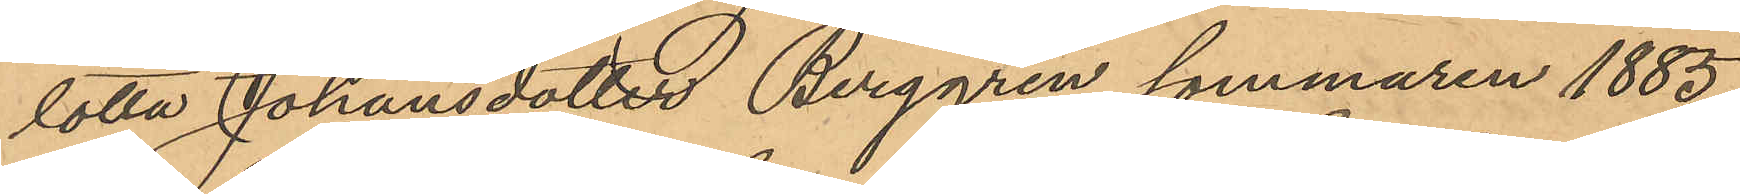lotta Johansdotter Berggren sommaren 1885
